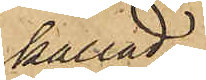kallad
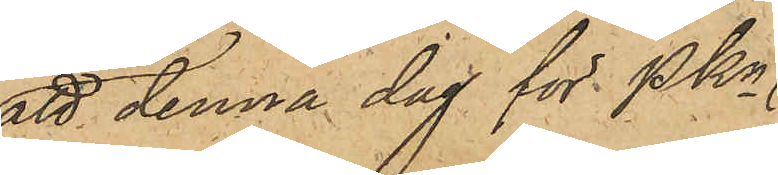att denna dag för PKn
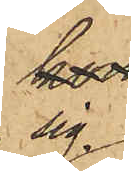sig
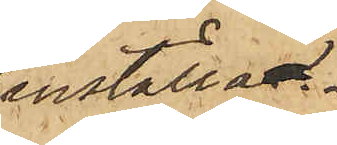inställa.
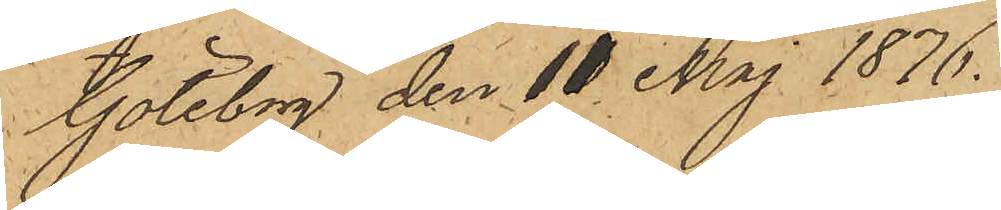Göteborg den 11 Maj 1876.
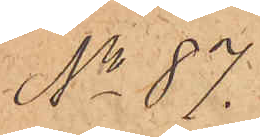No 87.
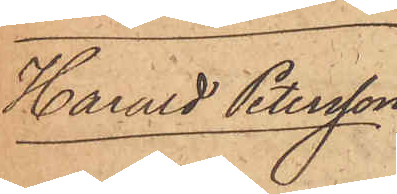Harald Petersson
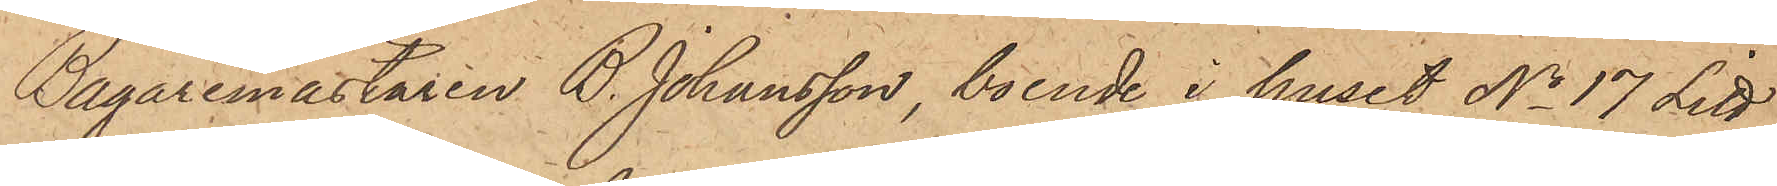Bagaremästaren B. Johansson, boende i huset No 17 Litt
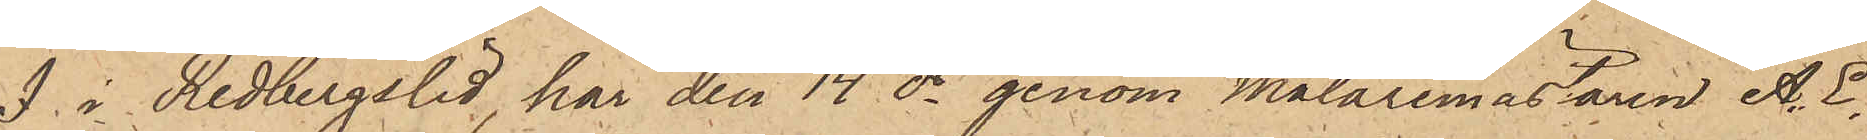J i Redbergslid, har den 14 ds genom målaremästaren A. E.
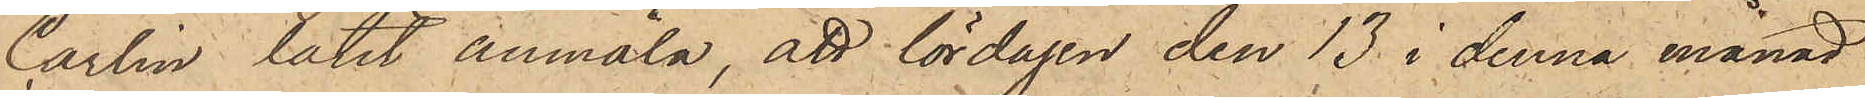Carlin låtit anmäla, att lördagen den 13 i denna månad
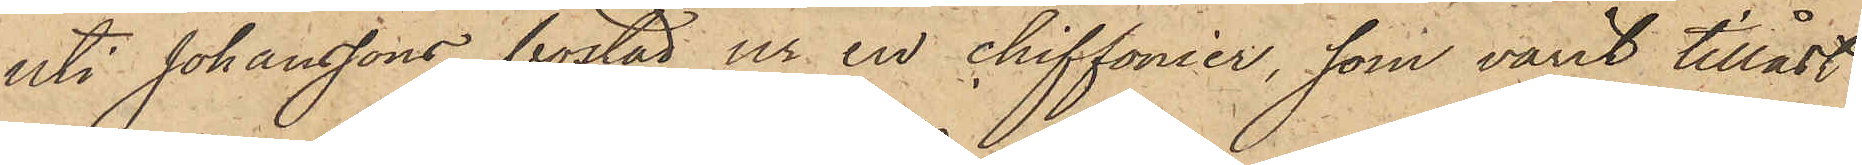uti Johanssons bostad ur en chiffonier, som varit tillåst
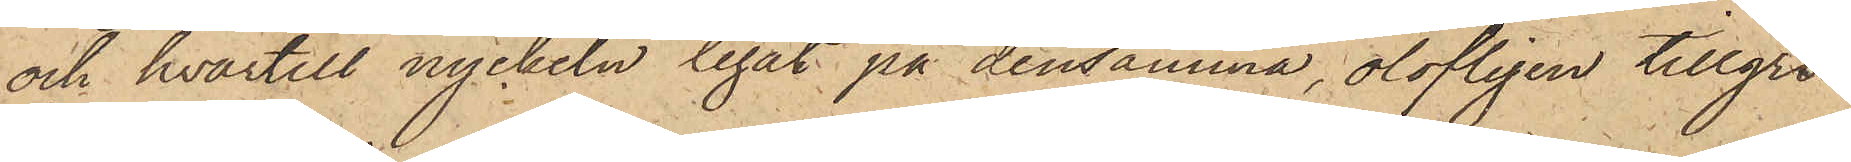och hvartill nyckeln legat på densamma, olofligen tillgri¬
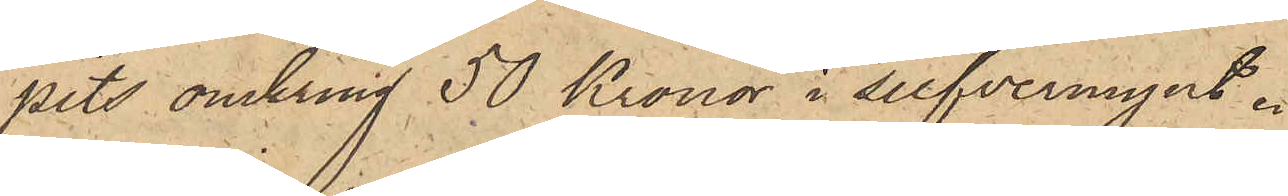pits omkring 50 Kronor i silfvermynt.
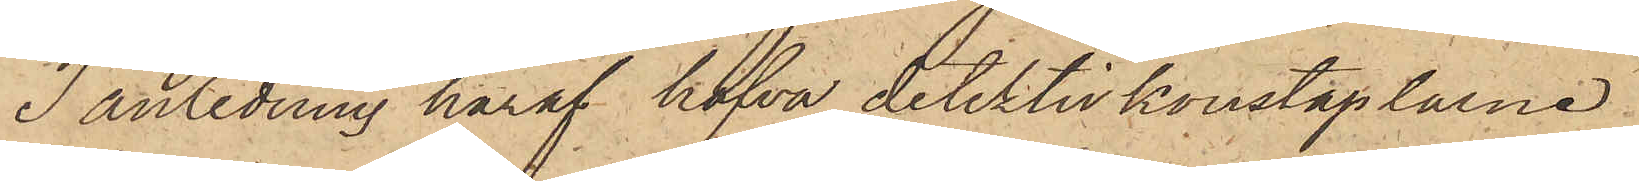I anledning häraf hafva detektivkonstaplarne
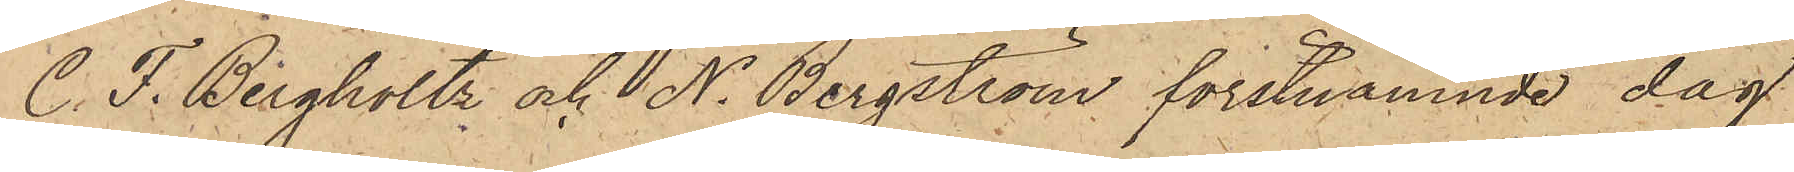C.F. Bergholtz och N. Bergström förstnämnde dag
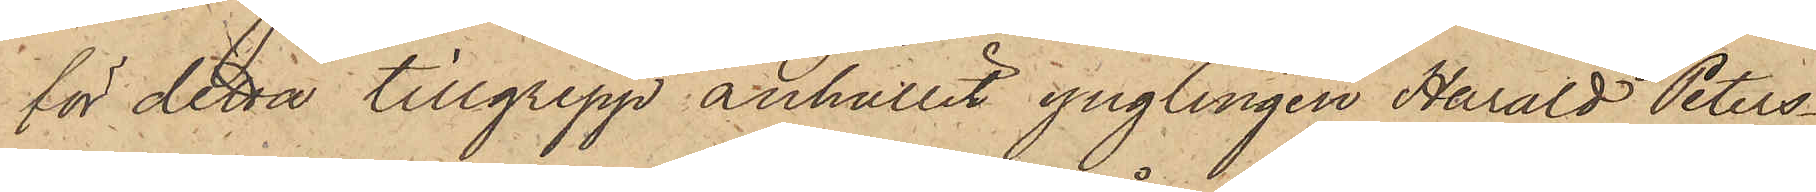för detta tillgrepp anhållit ynglingen Harald Peters¬
